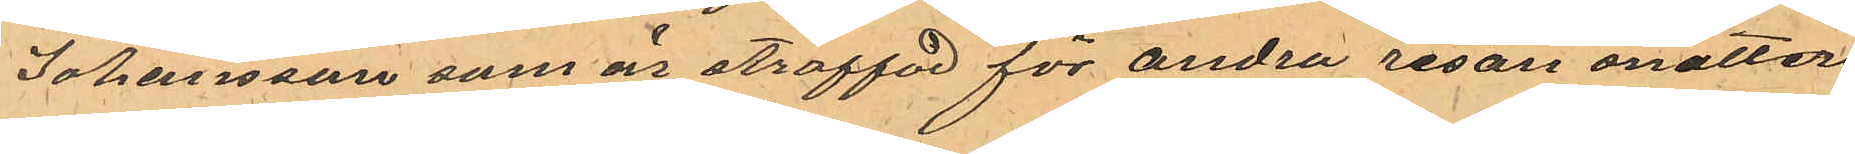Johansson som är straffad för andra resan snatteri
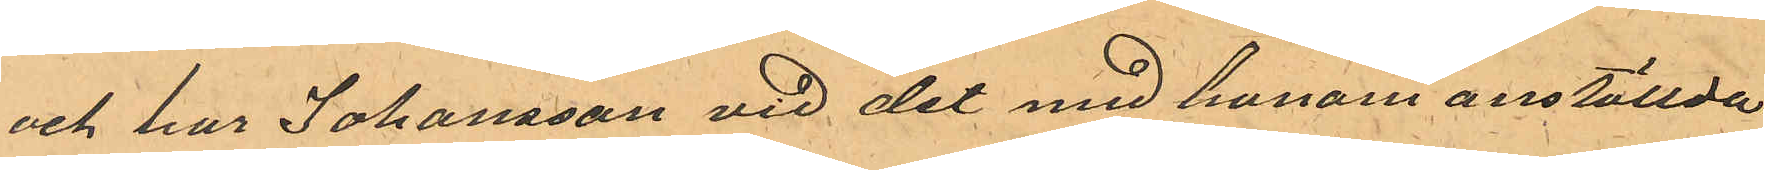och har Johansson vid det med honom anställda
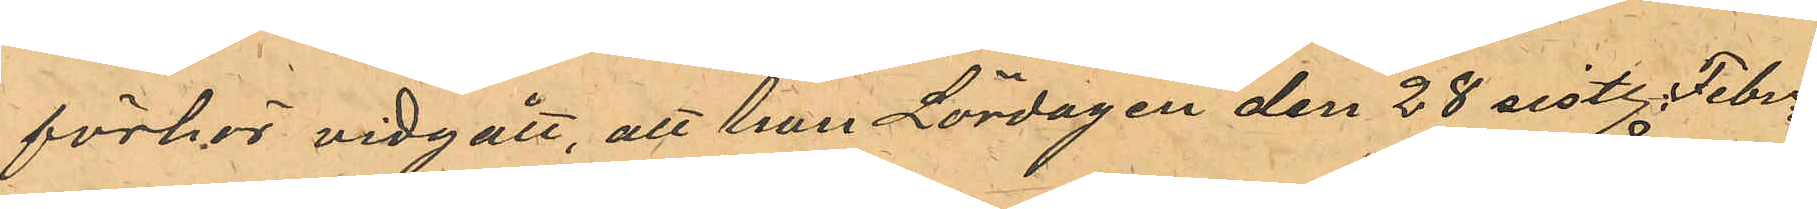förhör vidgått, att han Lördagen den 28 sistl. Febr.
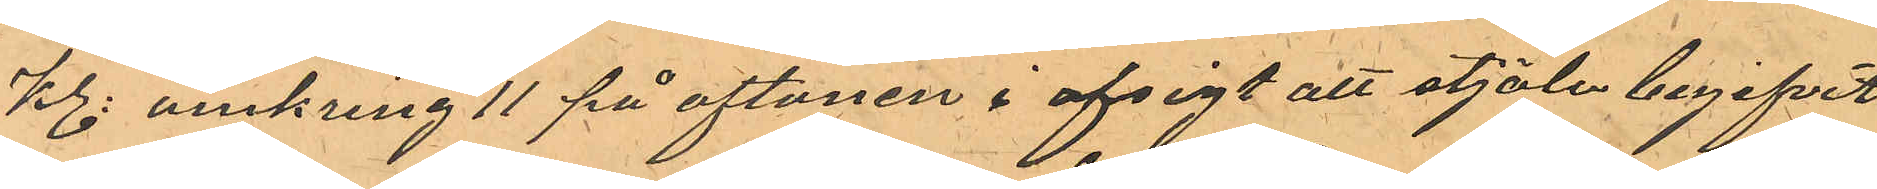kl. omkring 11 på aftonen i afsigt att stjäla begifvit
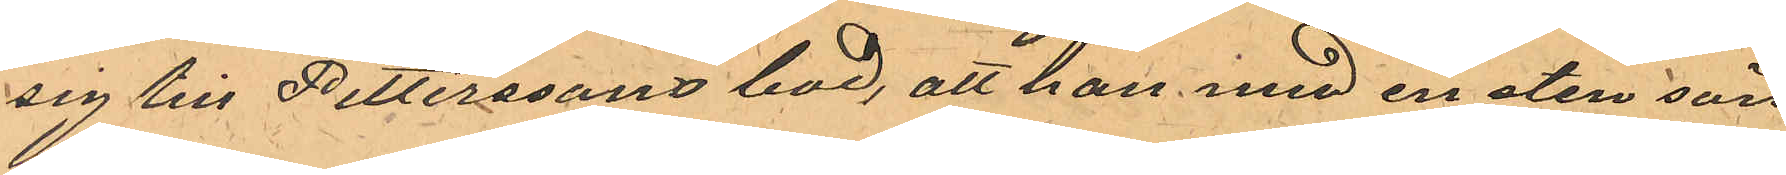sig till Petterssons bod, att han med en sten sön¬
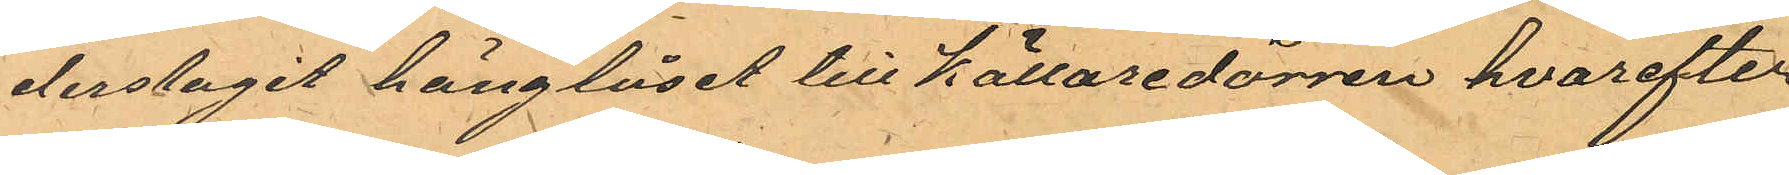derslagit hänglåset till källaredörren hvarefter
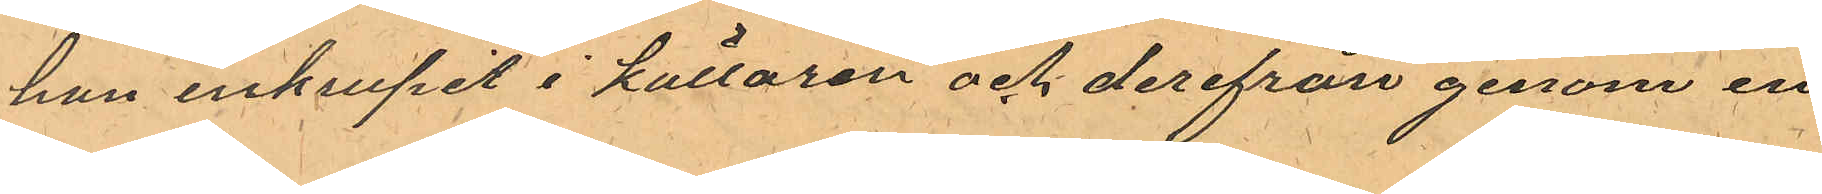han inkrupit i källaren och derifrån genom en
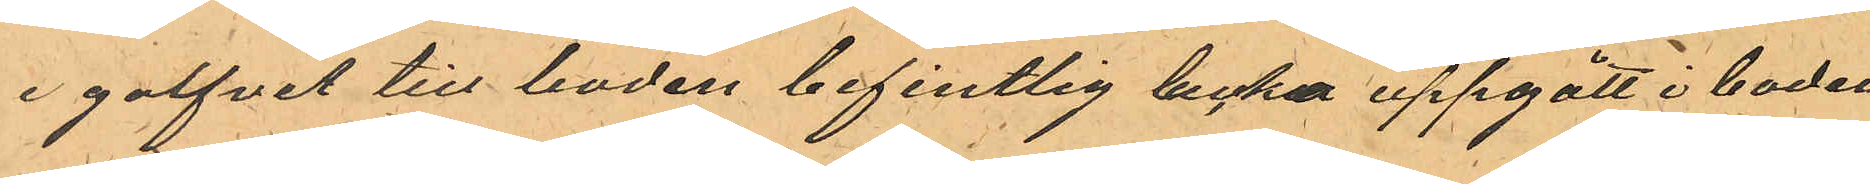i golfvet till boden befintlig lucka uppgått i boden
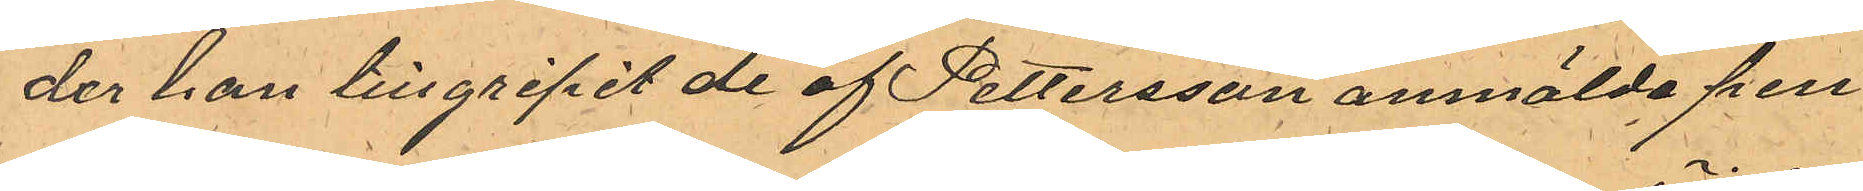der han tillgripit de af Pettersson anmälde pen¬
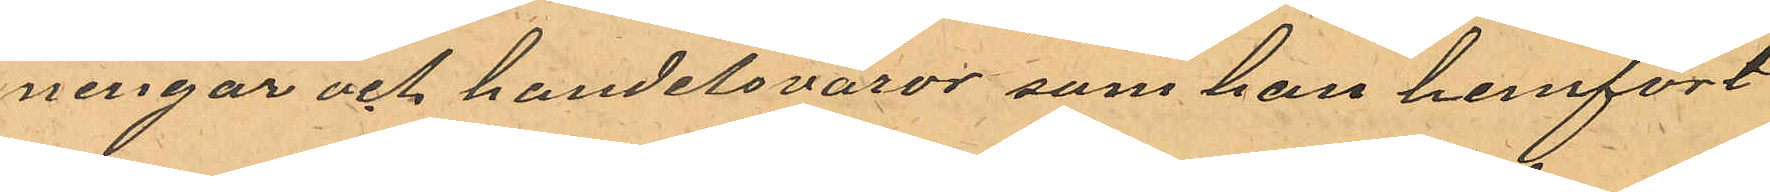ningar och handelsvaror som han hemfört
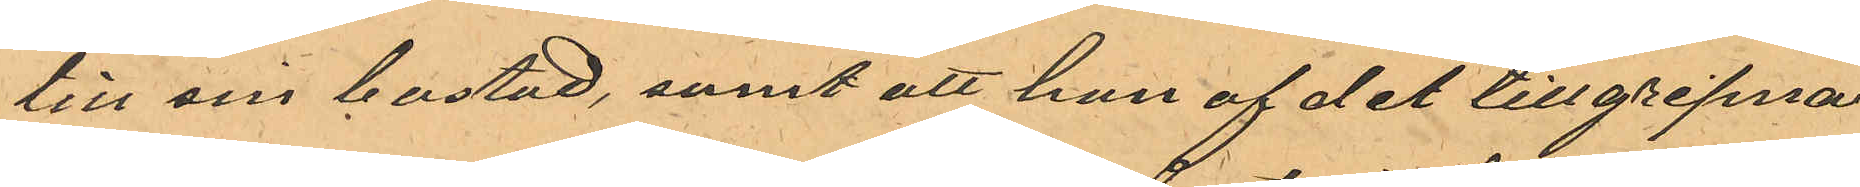till sin bostad, samt att han af det tillgripna
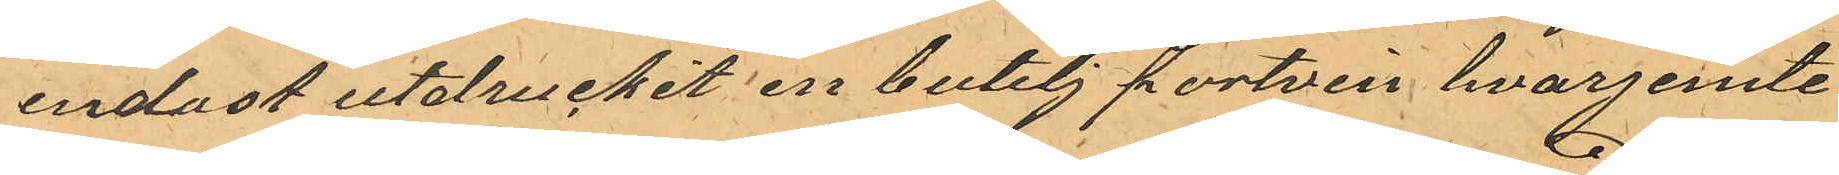endast utdruckit en butelj portvin hvarjemte
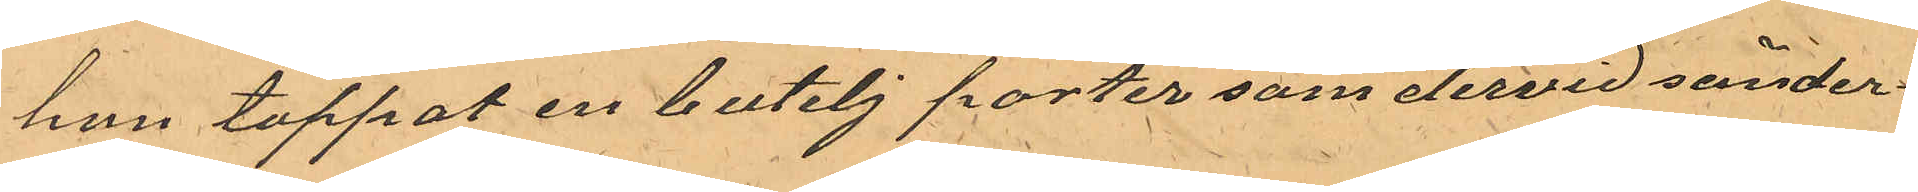han tappat en butelj porter som dervid sönder¬
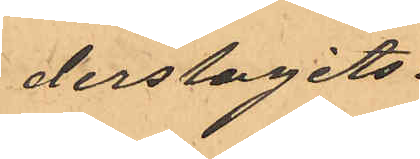derslagits.
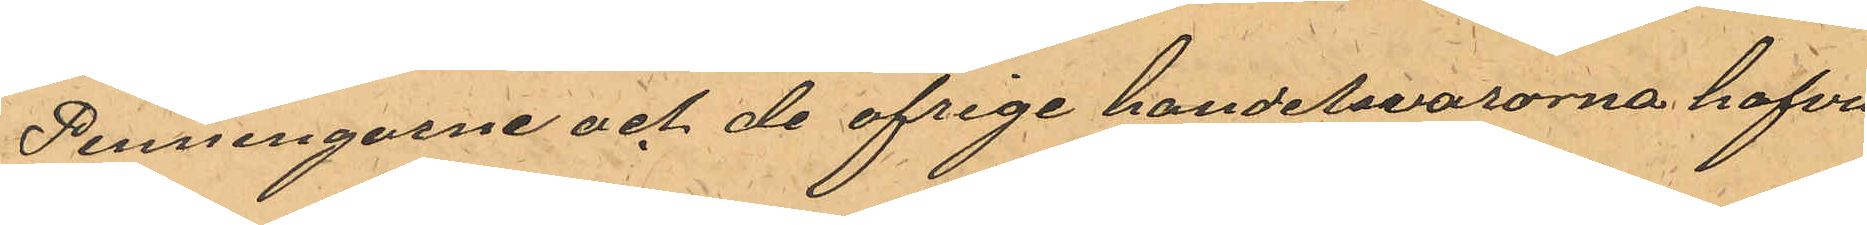Penningarne och de ofrige handelsvarorna hafva
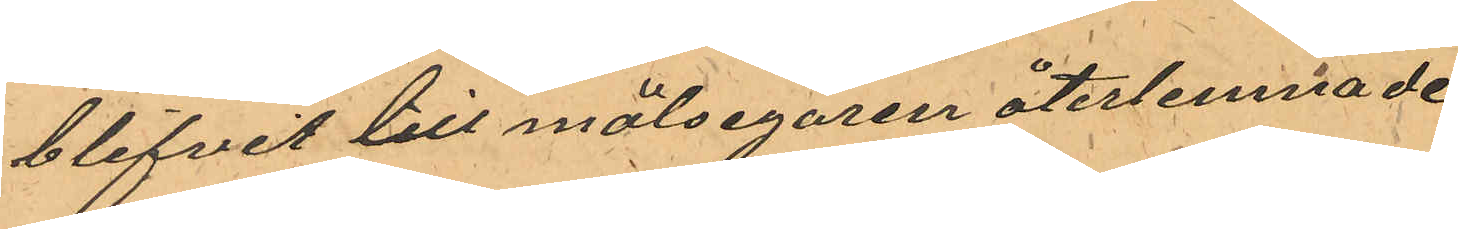blifvit till målsegaren återlemnade.
